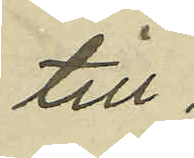till
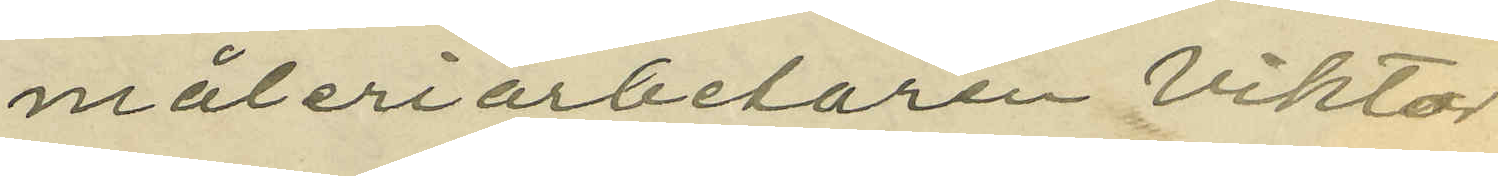måleriarbetaren Viktor
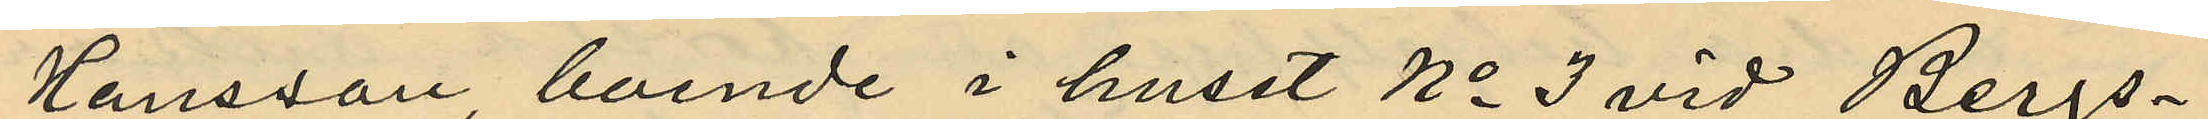Hansson, boende i huset No 3 vid Bergs¬
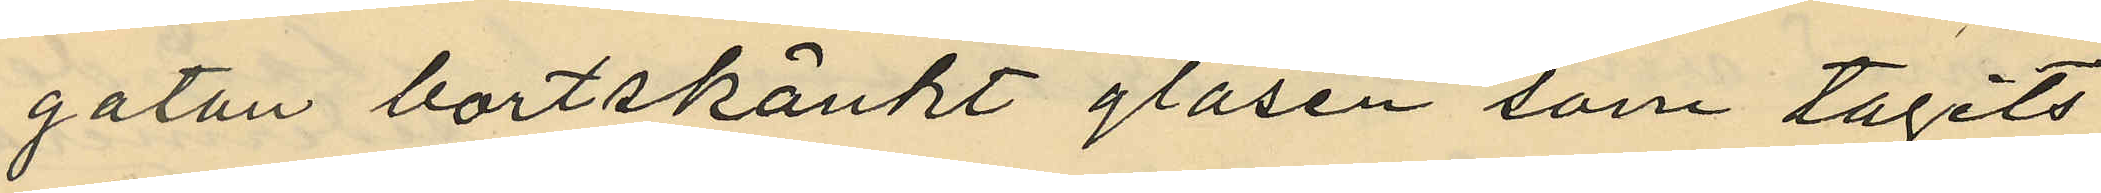gatan bortskänkt glasen som tagits
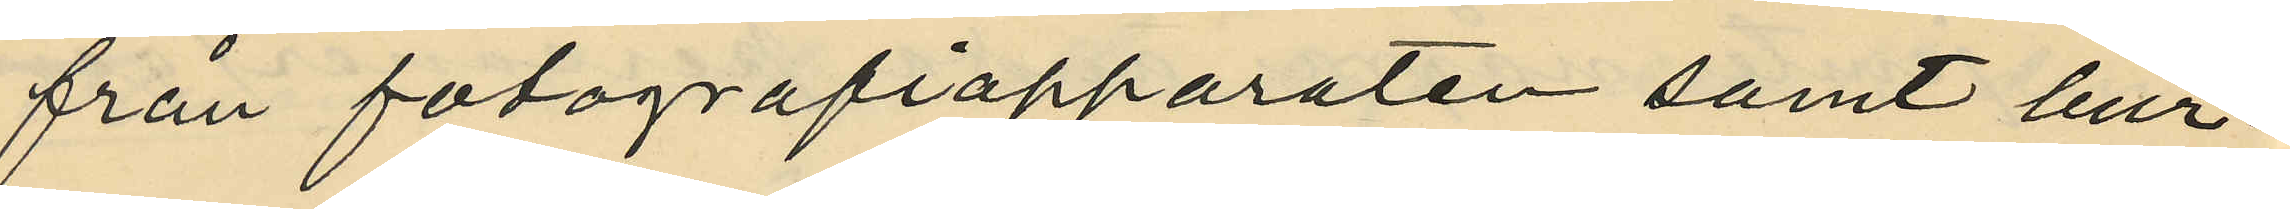från fotografiapparaten samt bur¬
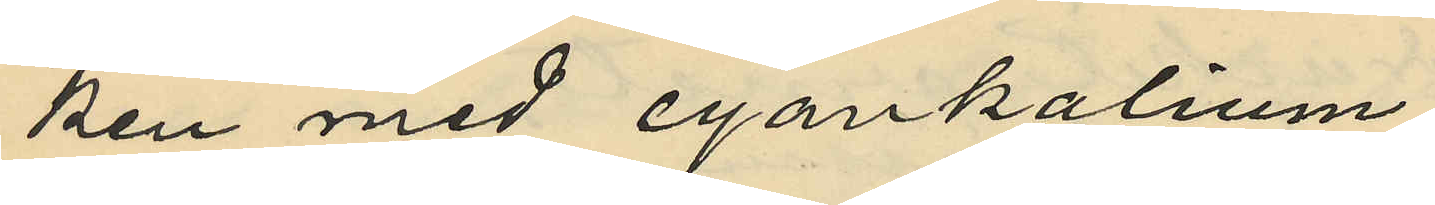ken med cyankalium;
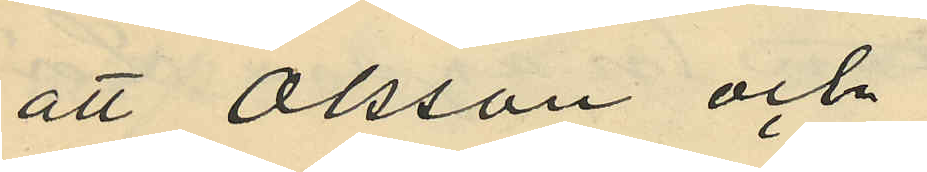att Olsson och
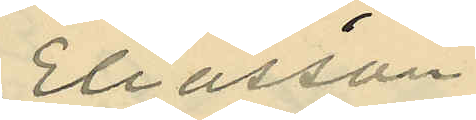Eliasson
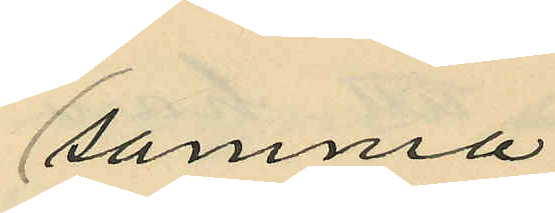samma
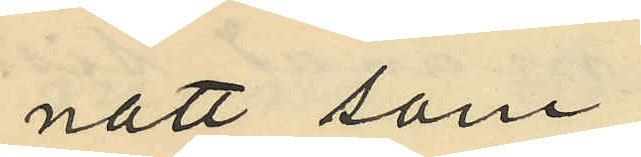natt som
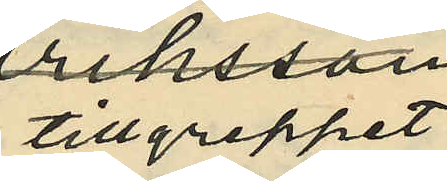tillgreppet
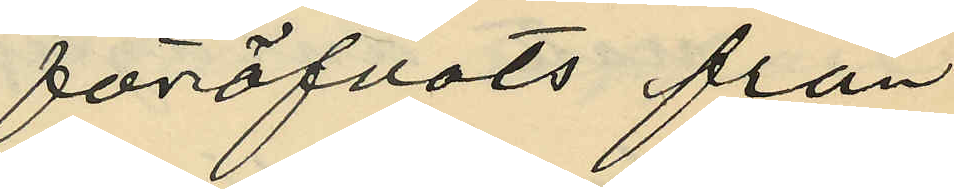föröfvats från
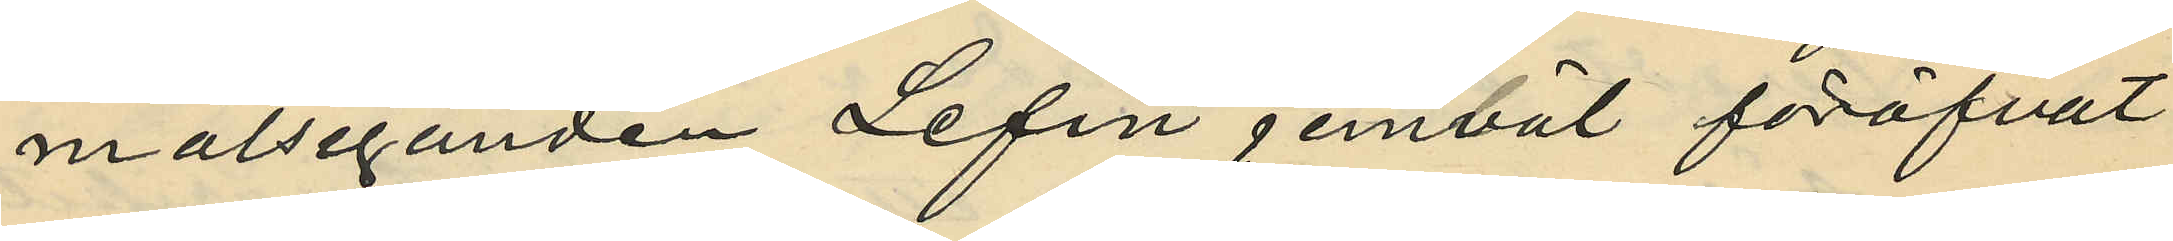målseganden Lefin jemväl föröfvat
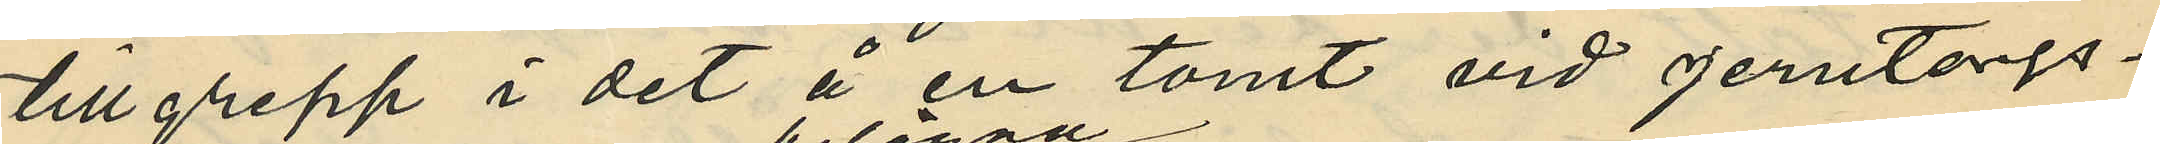tillgrepp i det å en tomt vid Jerntorgs¬
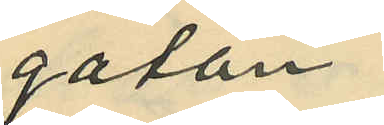gatan
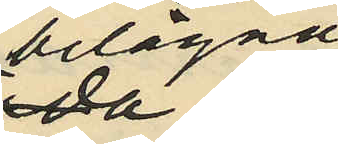belägna
